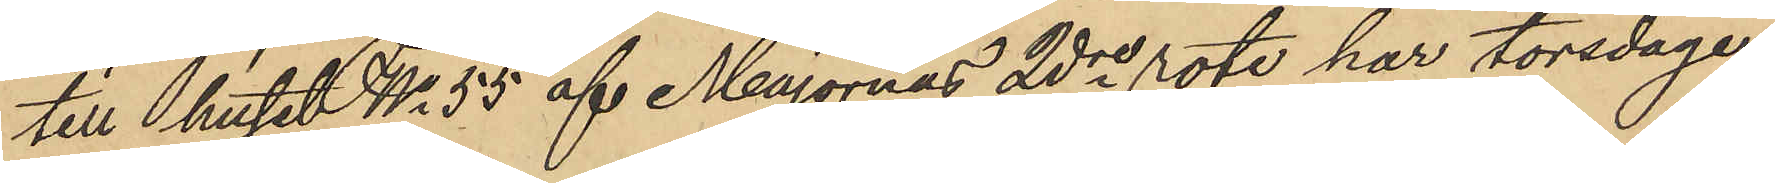till huset No 55 af Majornas 2dre rote har torsdagen
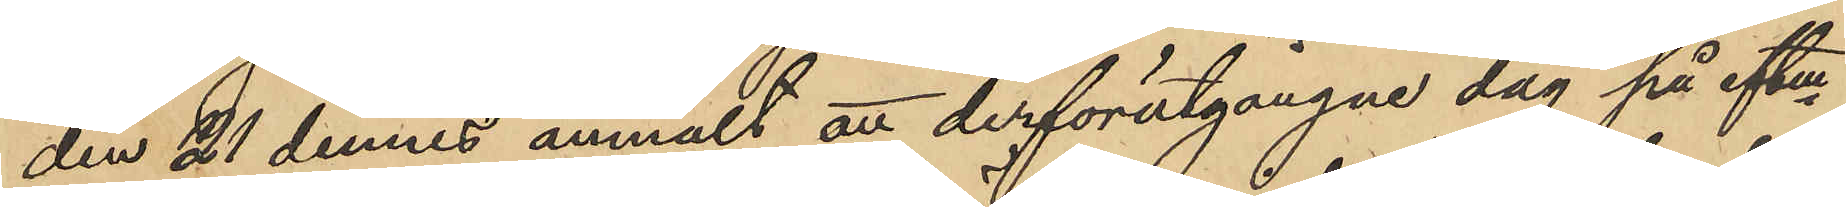den 21 dennes anmält att derförutgångne dag på eftm
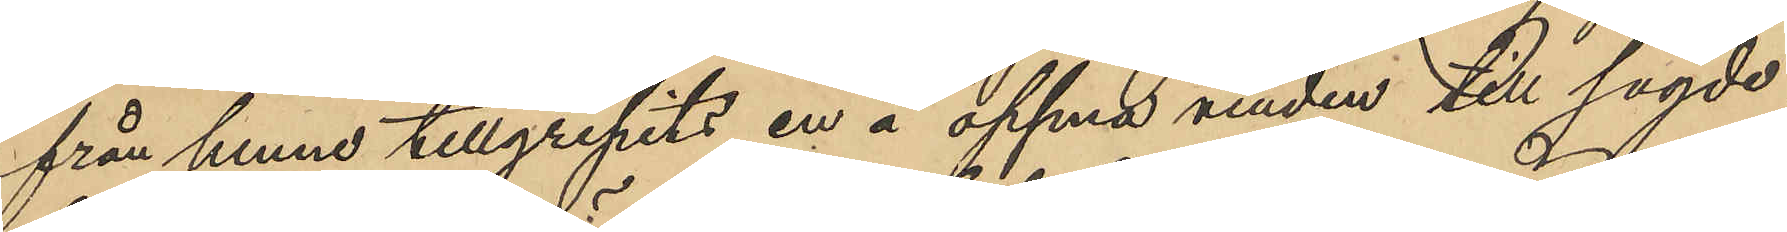från henne tillgripits en å öppna vinden till sagde
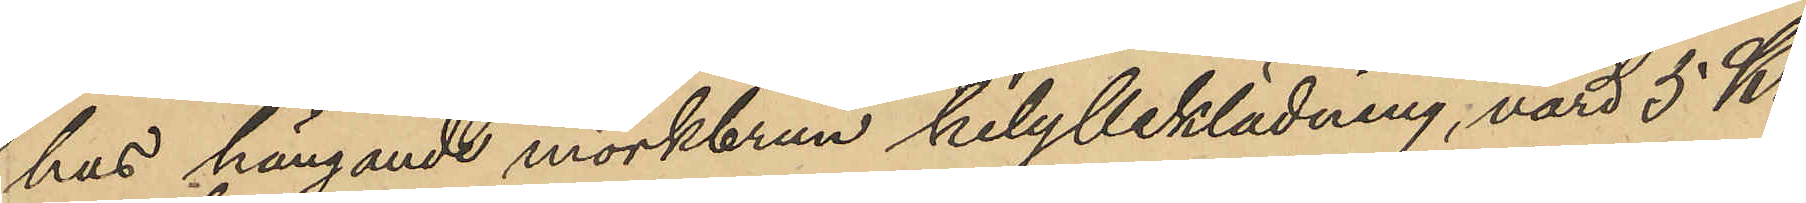hus hängande mörkbrun helylleklädning, värd 5 Kr.
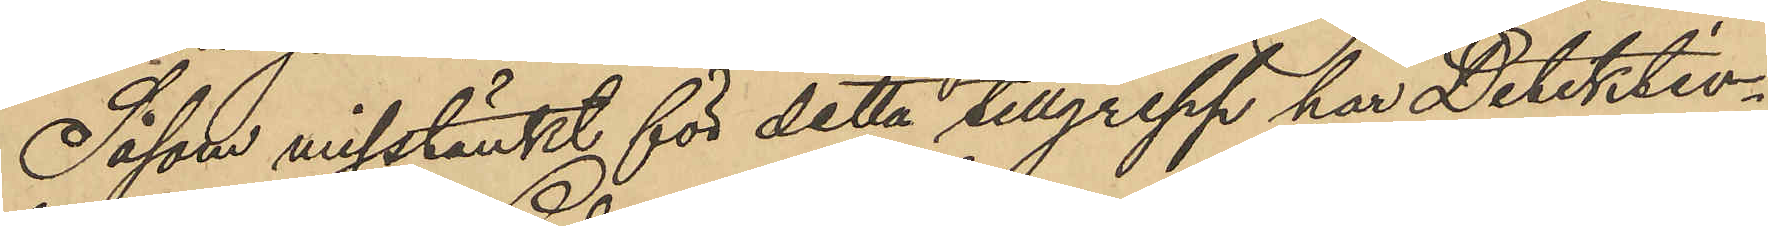Såsom misstänkt för detta tillgrepp har Detektiv¬
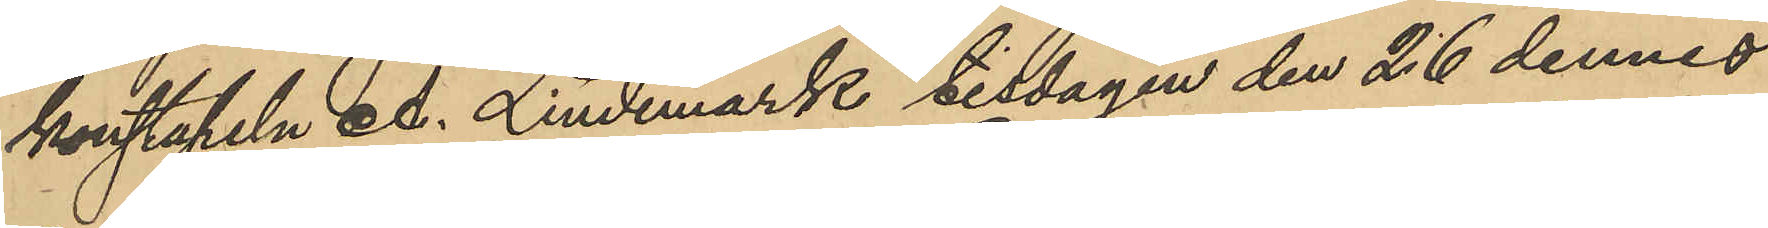konstapeln A. Lindemark tisdagen den 26 dennes
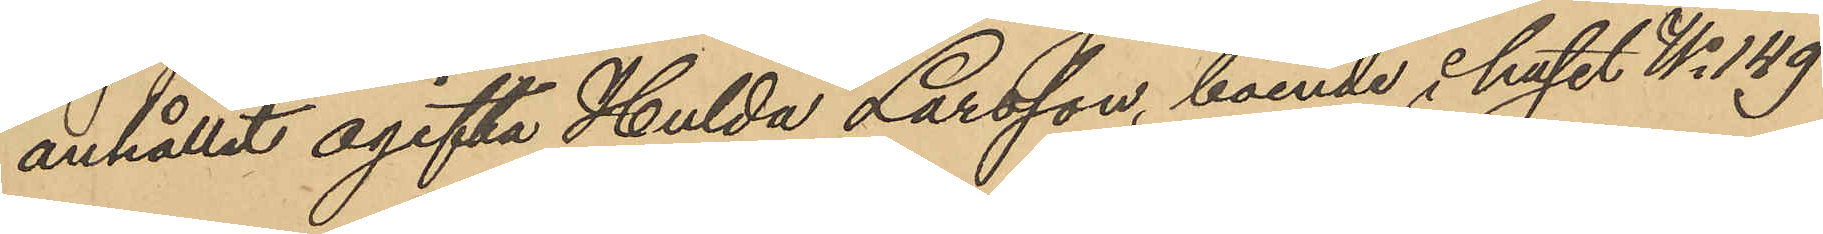anhållit ogifta Hulda Larsson, boende i huset No 149
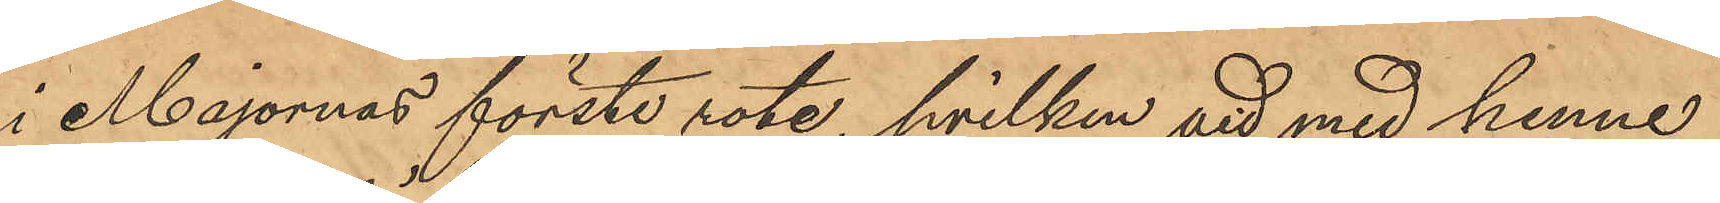i Majornas förste rote, hvilken vid med henne
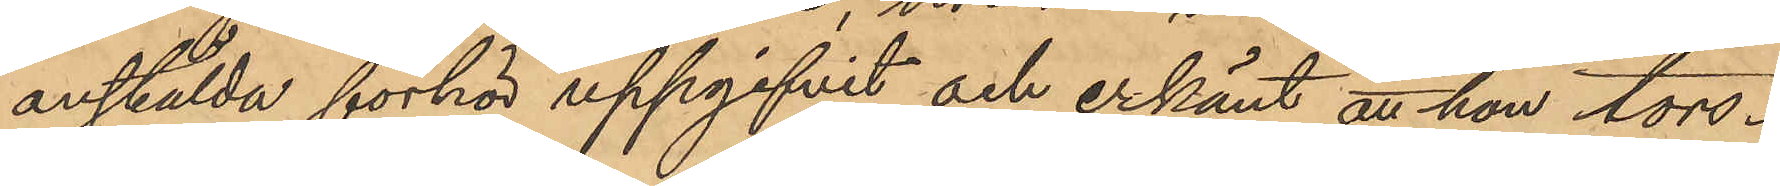anstälda förhör uppgifvit och erkänt att hon tors¬
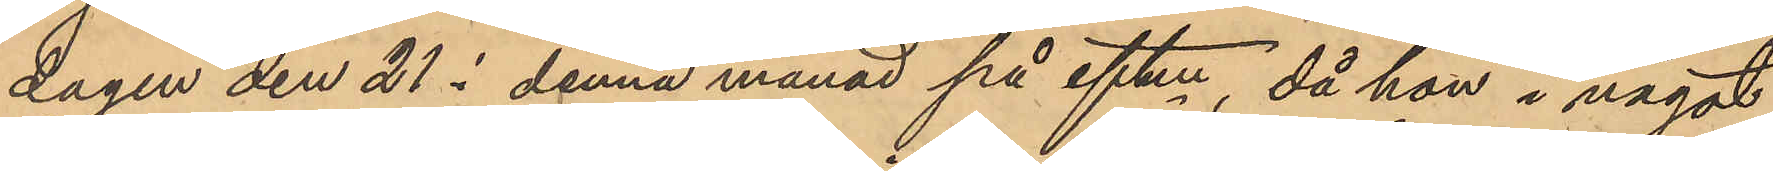dagen den 21 i denna månad på eftm, då hon i något
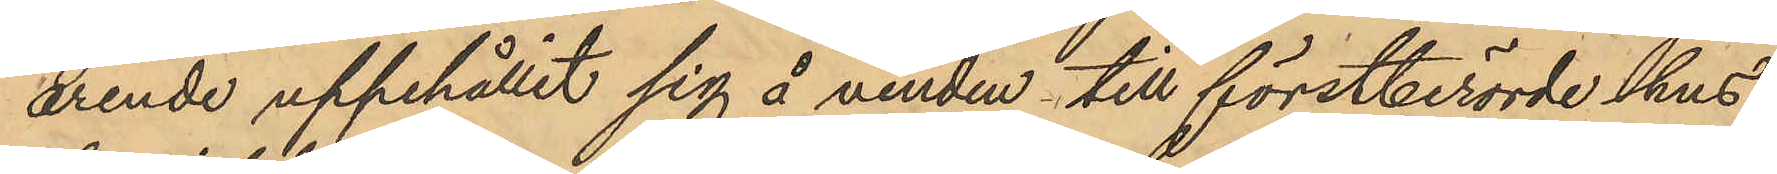ärende uppehållit sig å vinden till förstberörde hus,
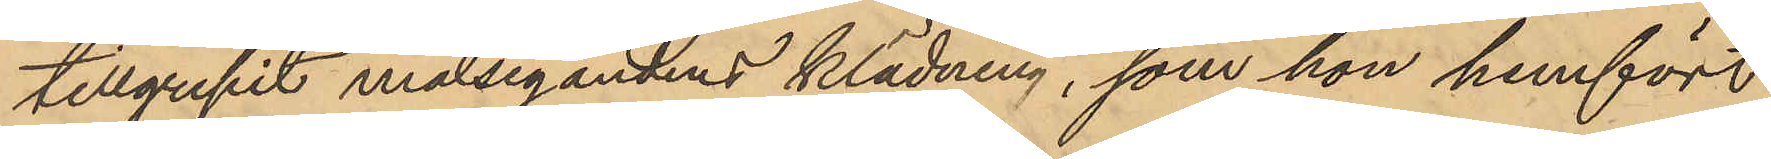tillgripit målsegandens klädning, som hon hemfört
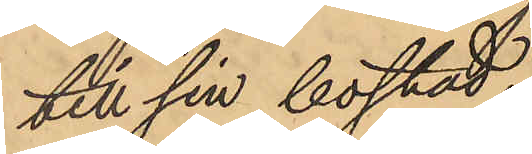till sin bostad
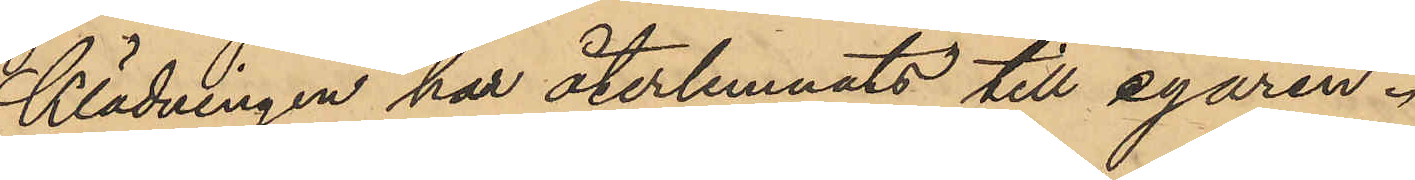klädningen har återlemnats till egaren.
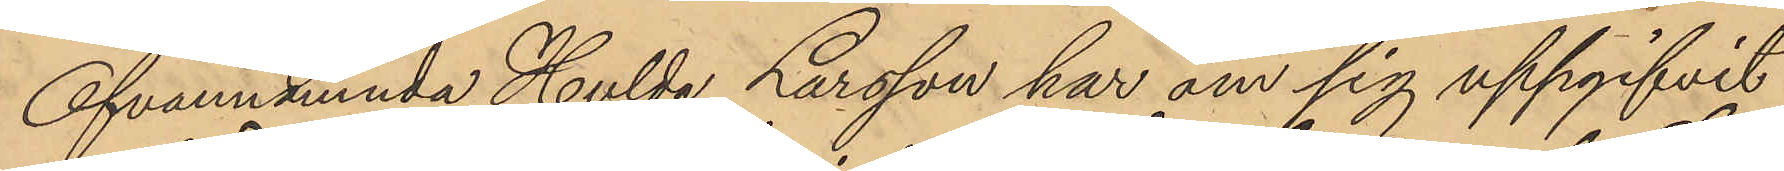Ofvannämnda Hulda Larsson har om sig uppgifvit
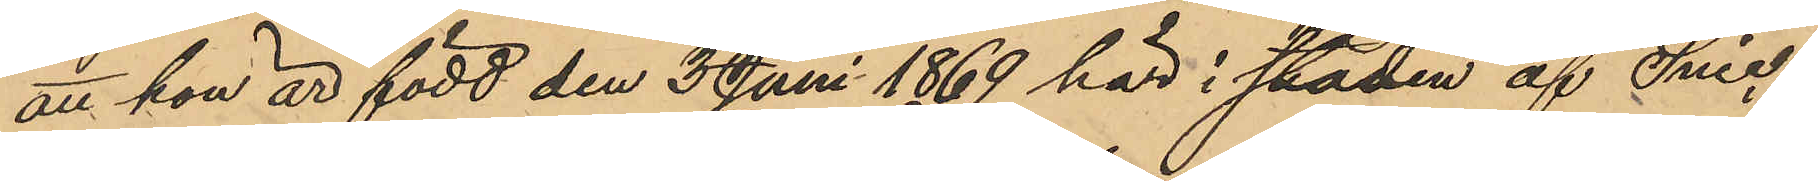att hon är född den 3 Juni 1869 här i staden af Snic¬
